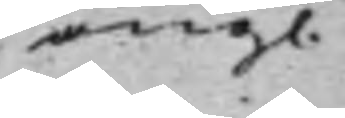ang. 
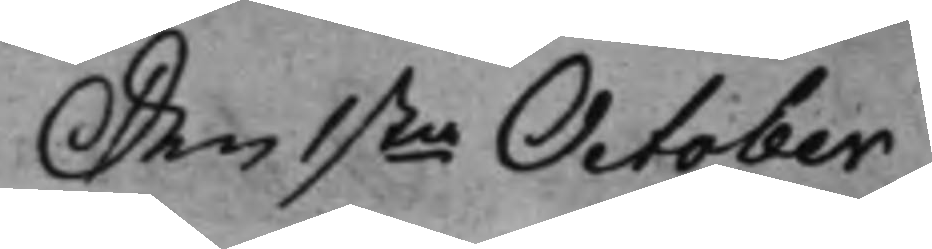Den 1sta October 
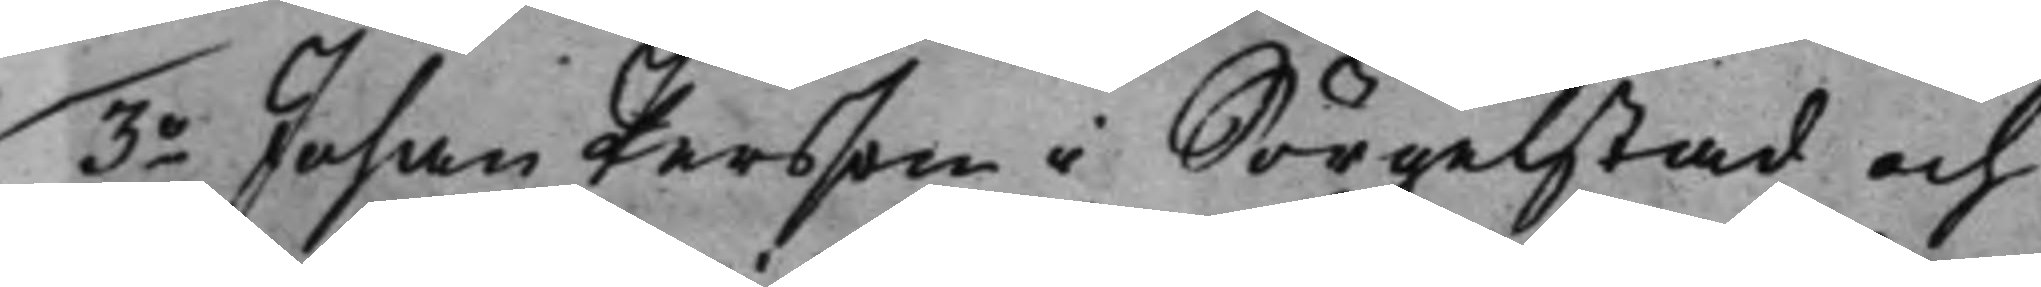3o Johan Persson i Sörgelstad och 
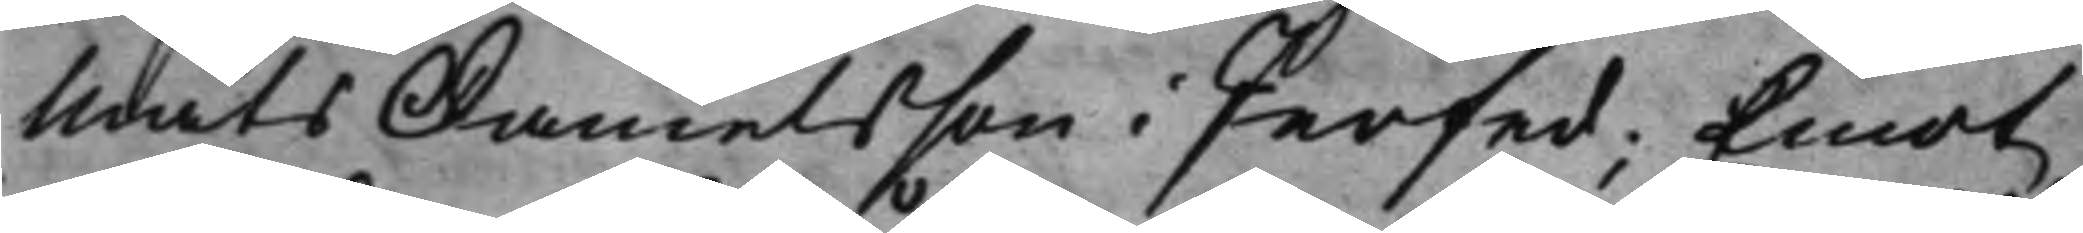Mats Danielsson i Perfed; Emot
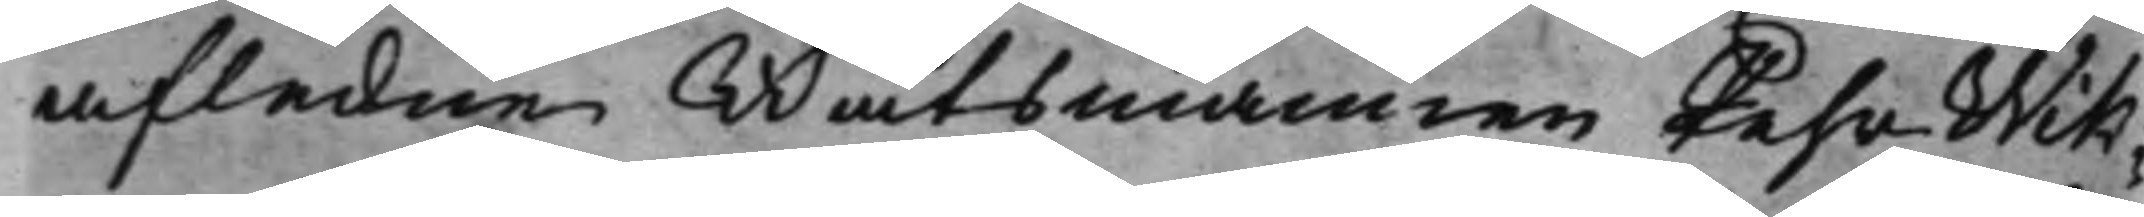afledne Båtsmannen Pehr Wik¬
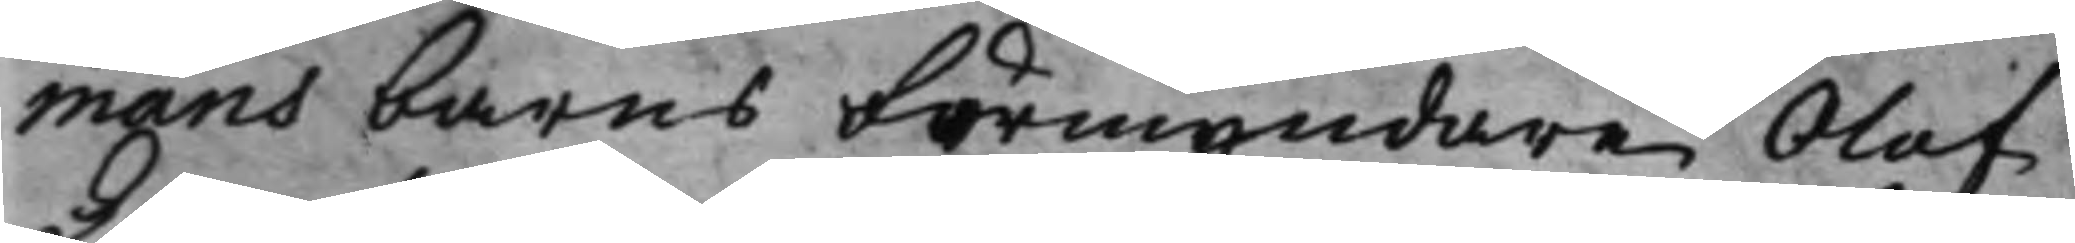mans barns Förmyndare Olof
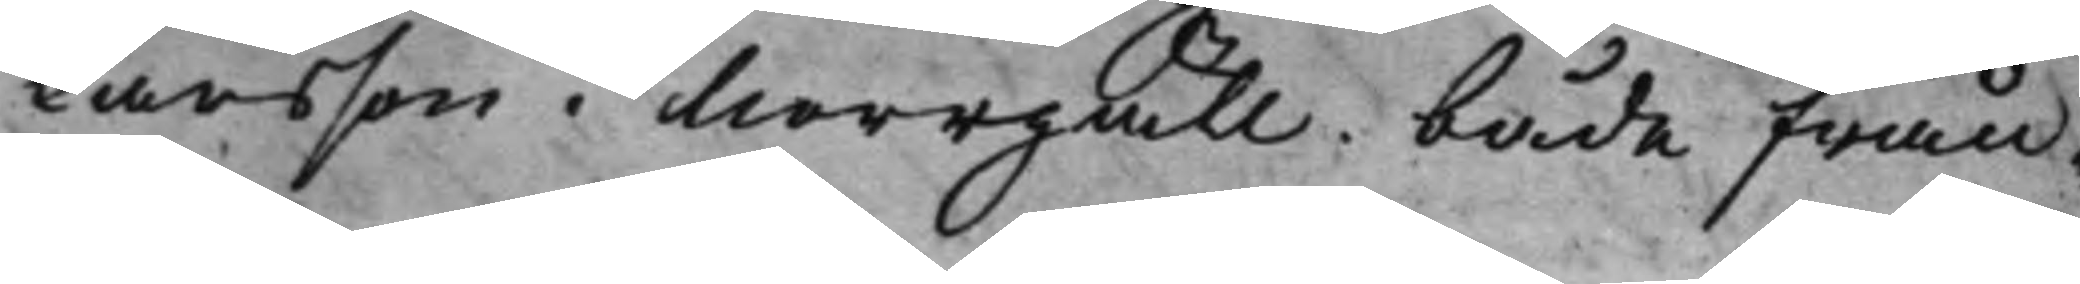Larsson i Norrgäll. både från¬
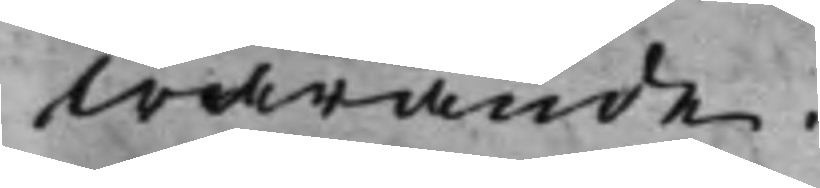warande.
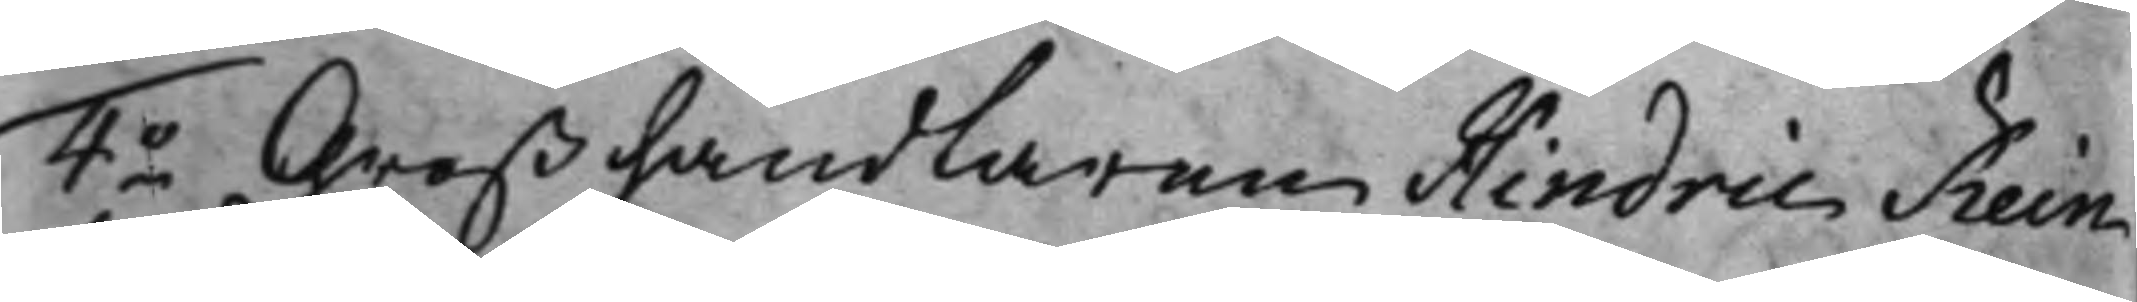4o Großhandlaren Hindric Rein¬ 
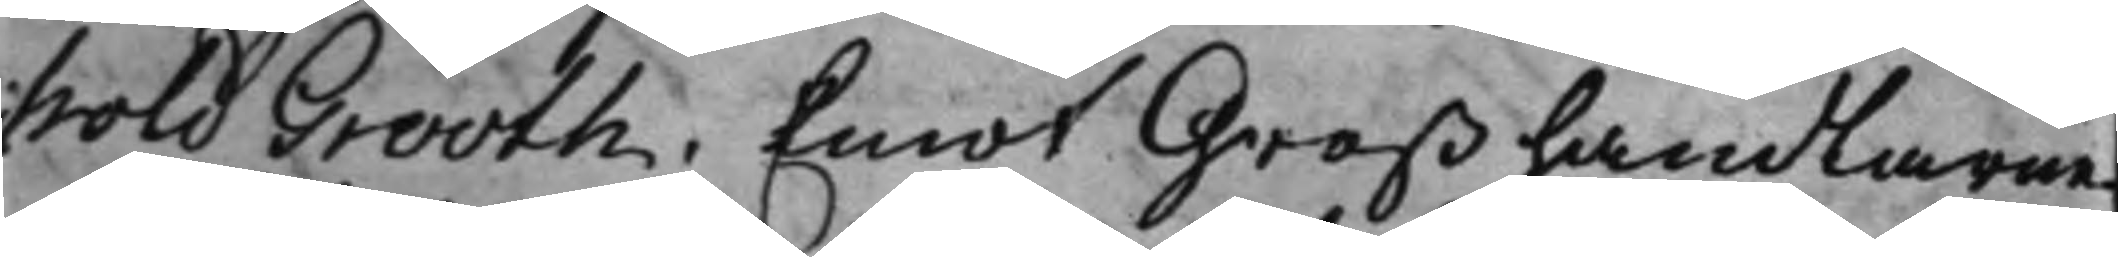hold Grooth; Emot Großhandlarne
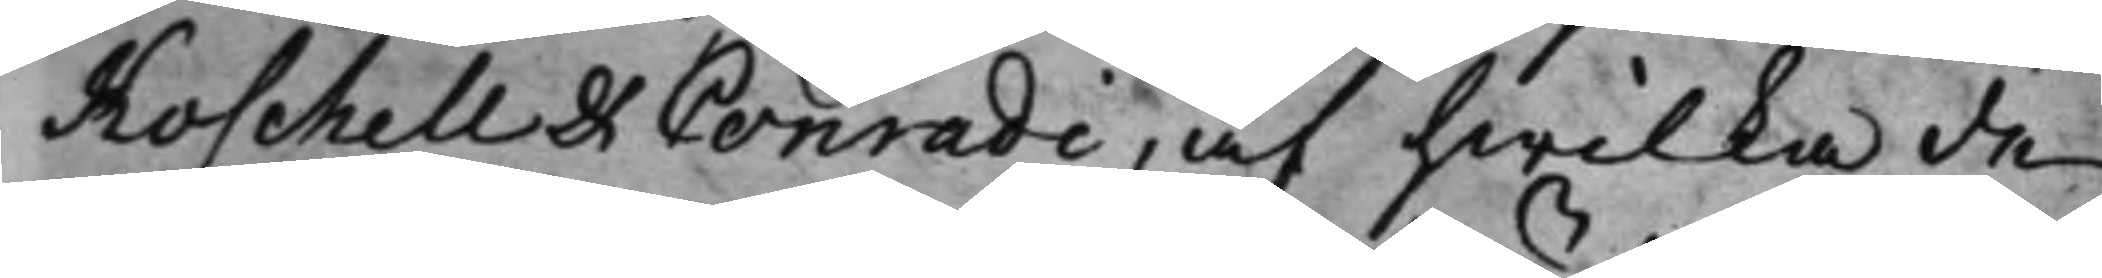Koschell et Conradi, af hwilka de
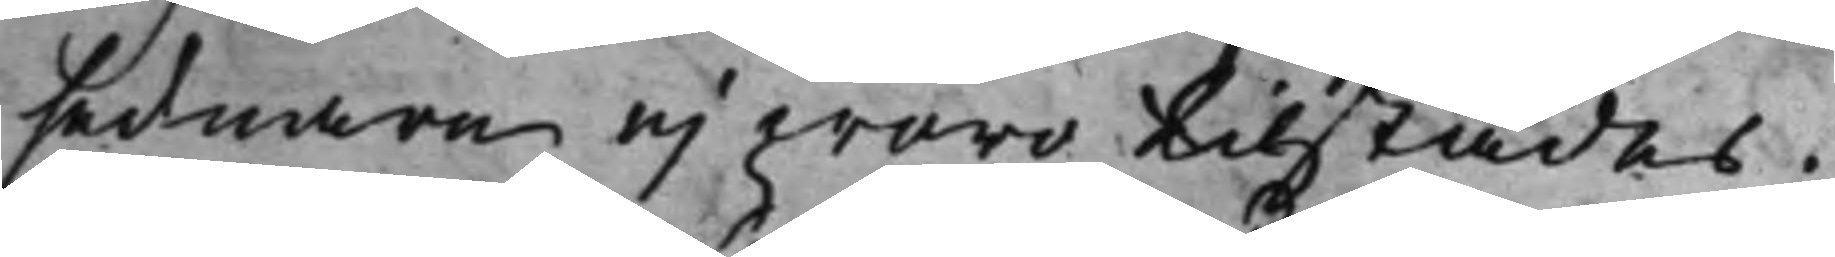sednare ej woro tilstädes.
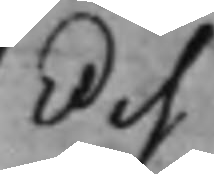Och
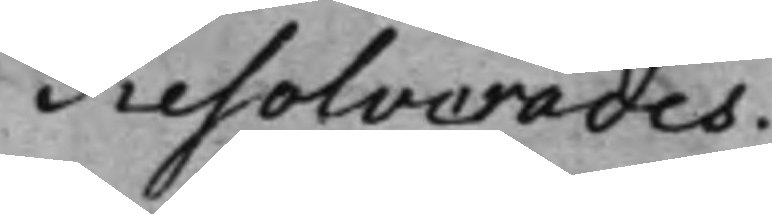Resolverades:
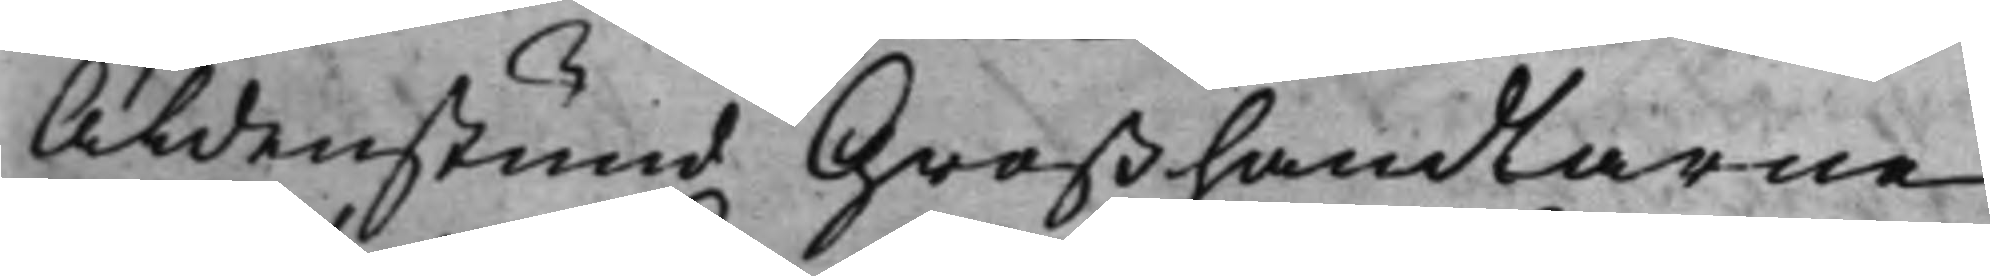Aldenstund Großhandlarne
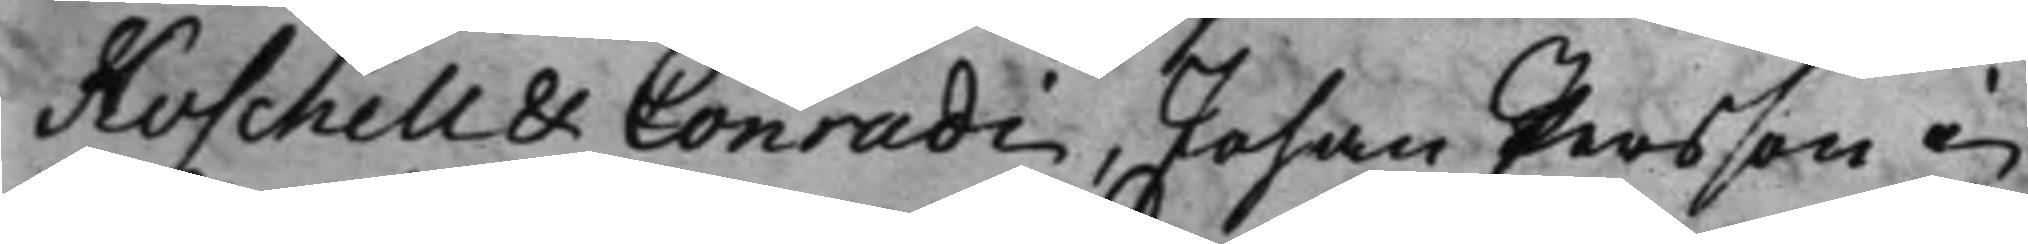Koschell & Conradi, Johan Persson i
